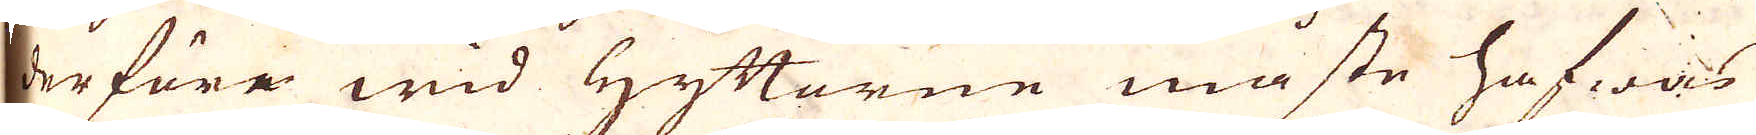derföre wid Hyttorne måste hafwas
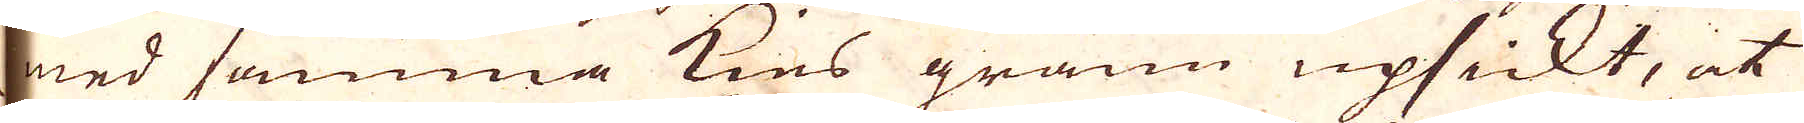med samma kies grann upsickt, at
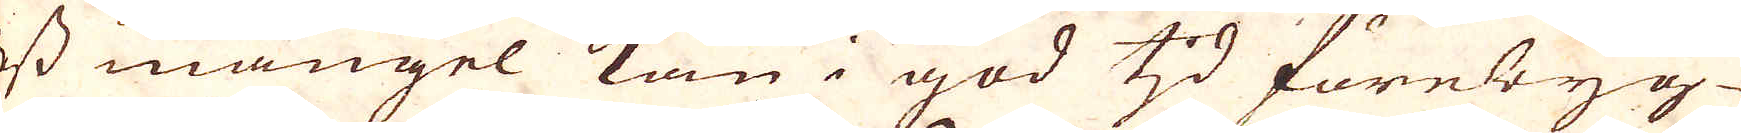dess mangel kan i god tjd förebyg-
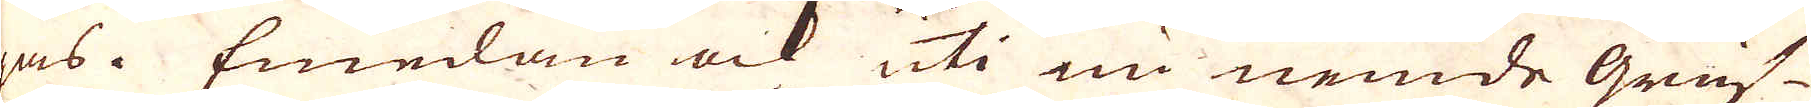gas. Emelan ock uti nu nemde Gruf-
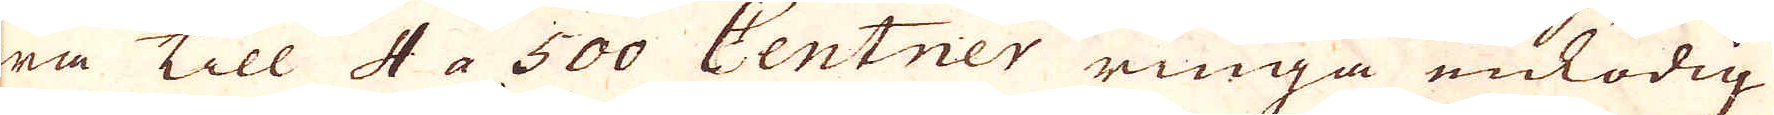wa Till 4 a 500 Centner ringa enlödig
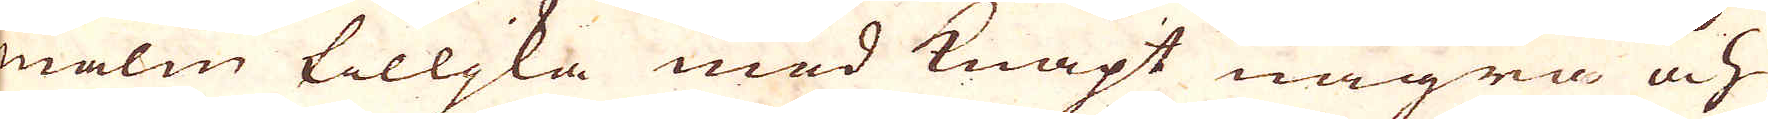malm tilljka med knapt några och
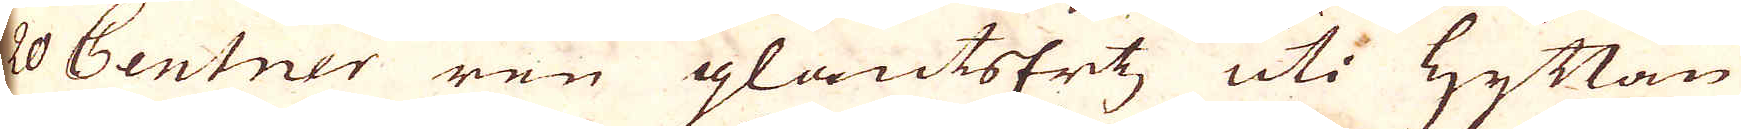20 Centner ren glantsErtz, uti Hyttan
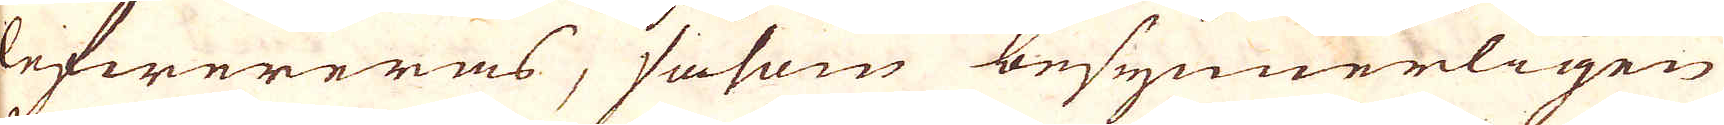lefwereras, såsom besynnerligen
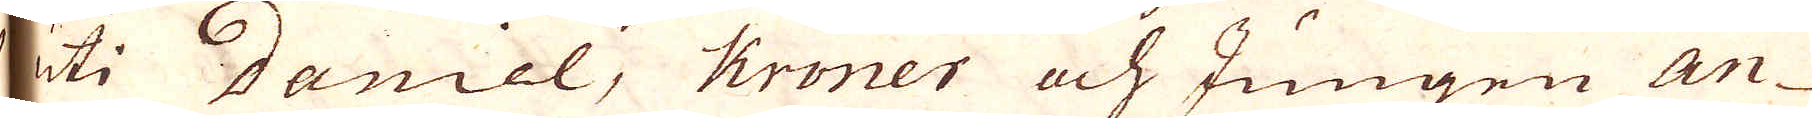uti Daniel, Kroner och Jungen An-
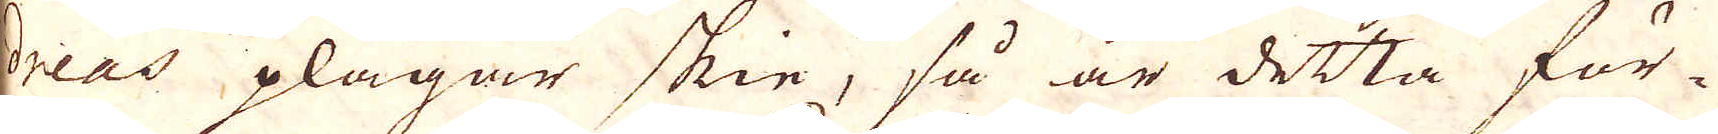dreas plägar skie, så är detta för-
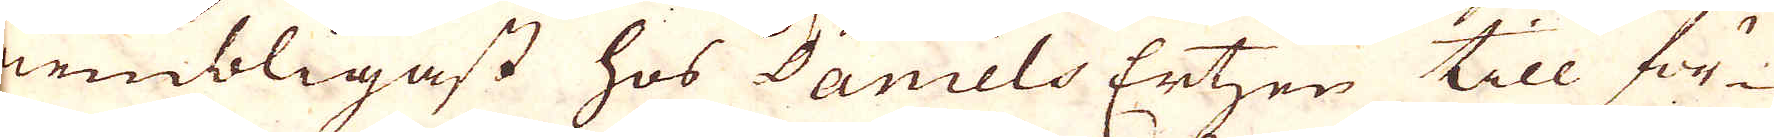nembligast hos Daniels Ertzen till för-
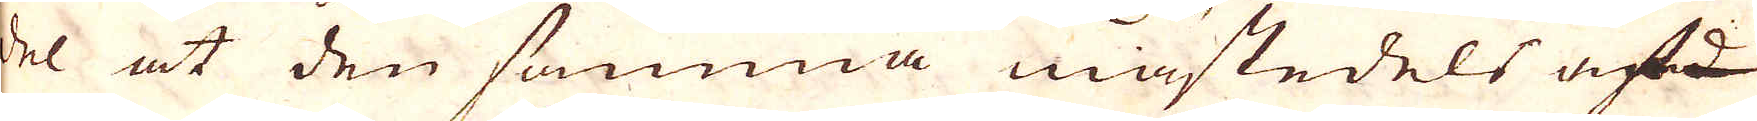del at den samma mästedels af
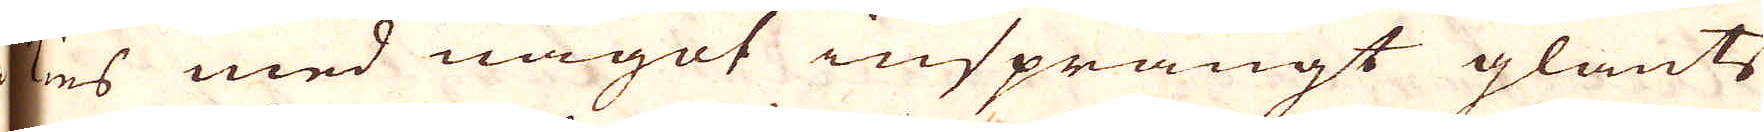kes med något insprängt glants
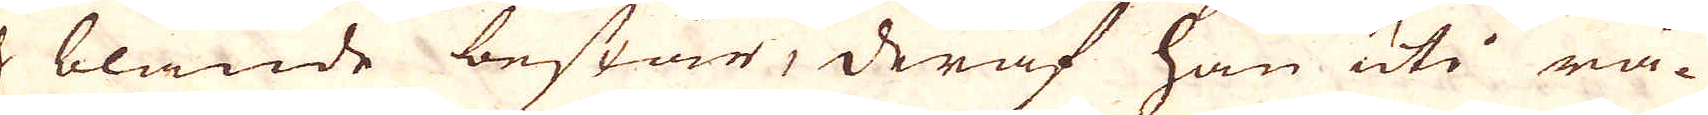blande består, deraf han uti rå-
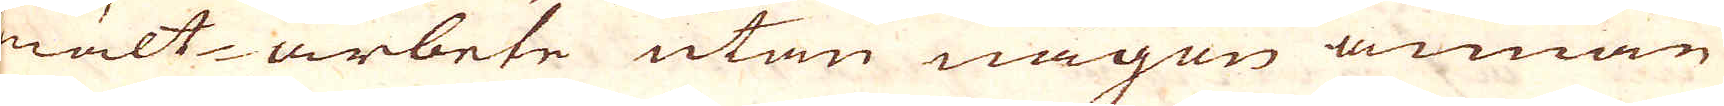smält-arbete utan någon annan
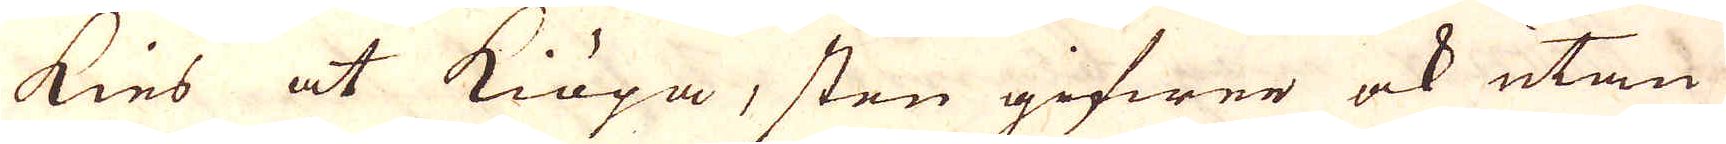kies at kiöpa, sten gifwer ock utan
